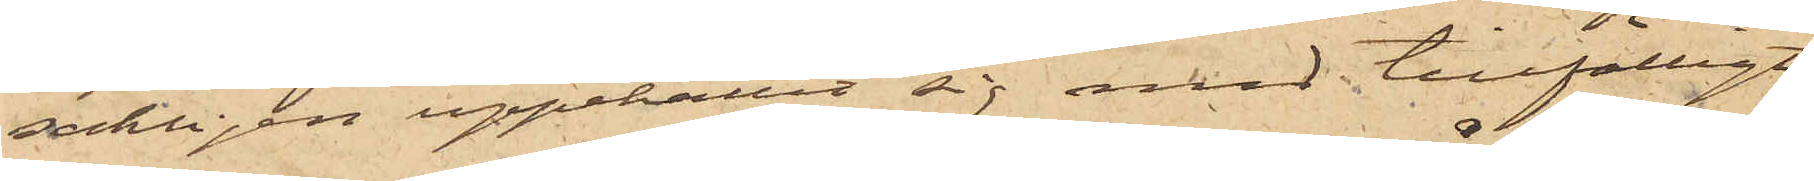sakligen uppehållit sig med tillfälligt
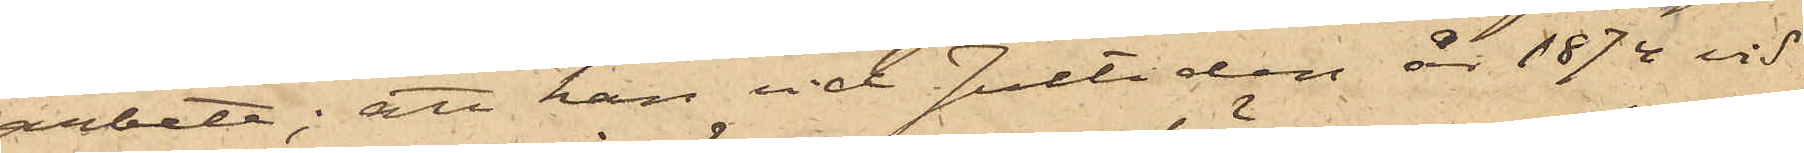arbete; att han vid Jultiden år 1874 vid
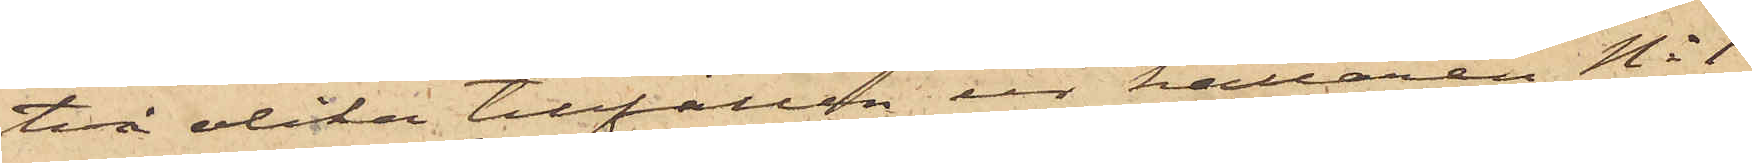två olika tillfällen ur källaren No 1
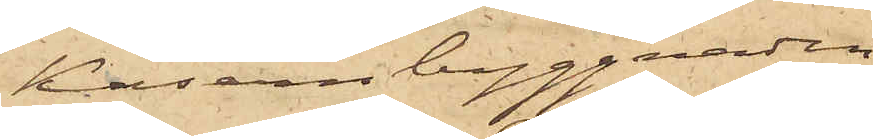i Kasernbyggnaden
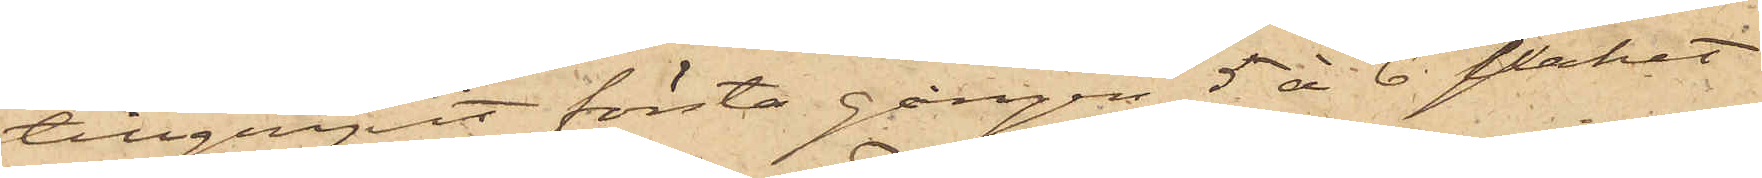tillgripit första gången 5 à 6 paket
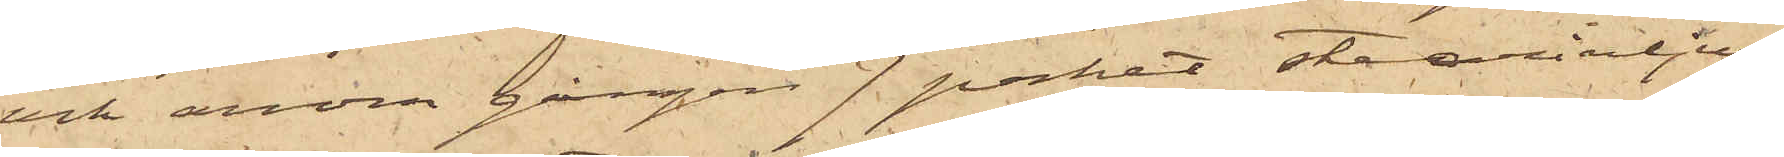och andra gången 7 paket stearinljus,
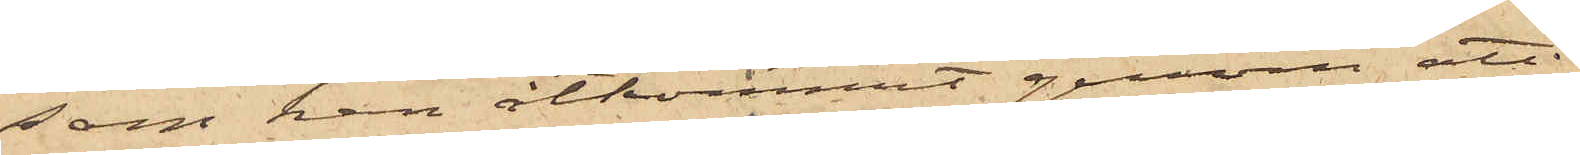som han åtkommit genom att
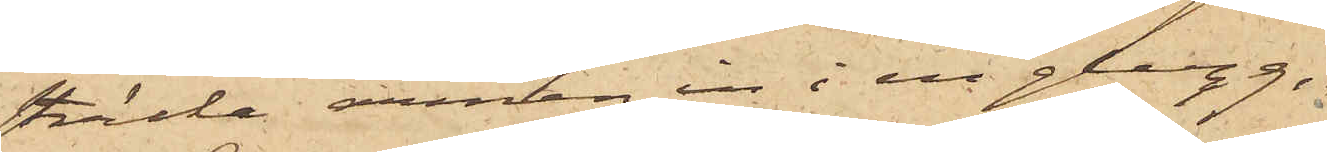sträcka armen in i en glugg,
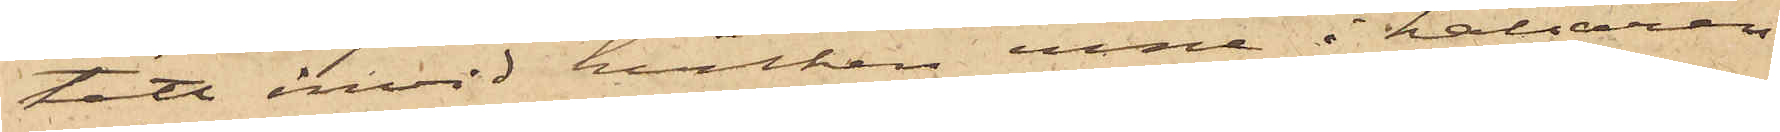tätt invid hvilken inne i källaren
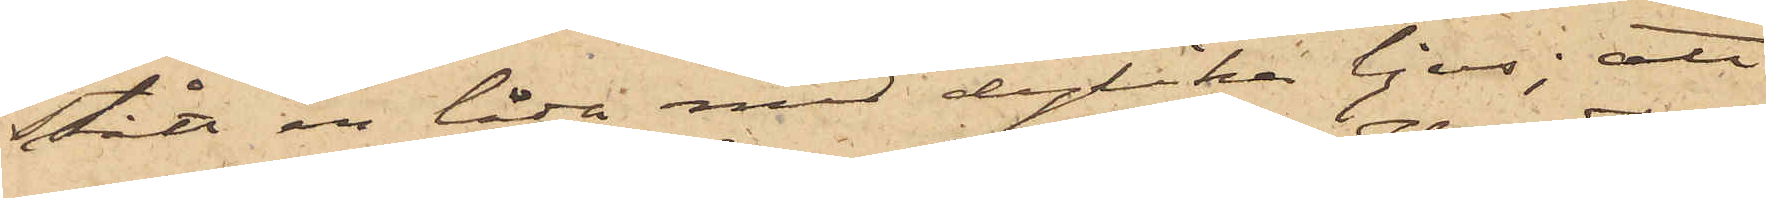stått en låda med dylika ljus; att
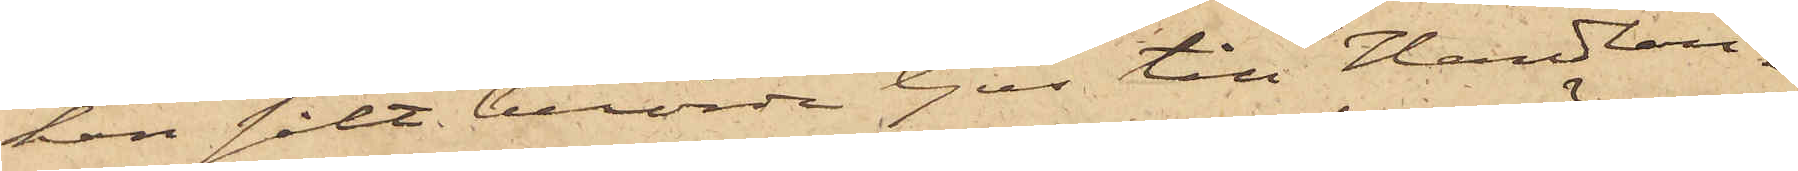han sålt berörde ljus till Handlan¬
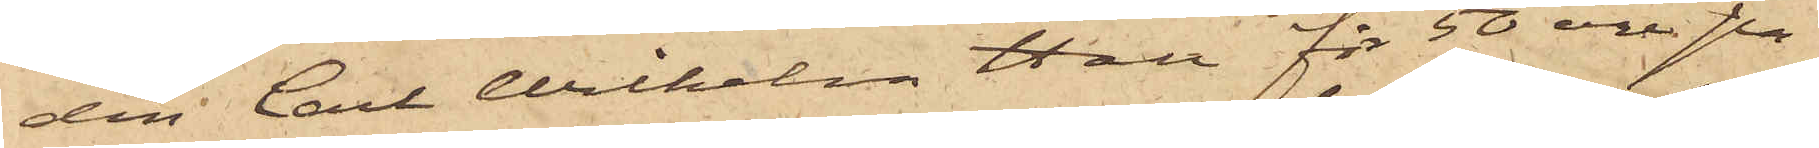den Carl Wilhelm Hall för 50 öre pa¬
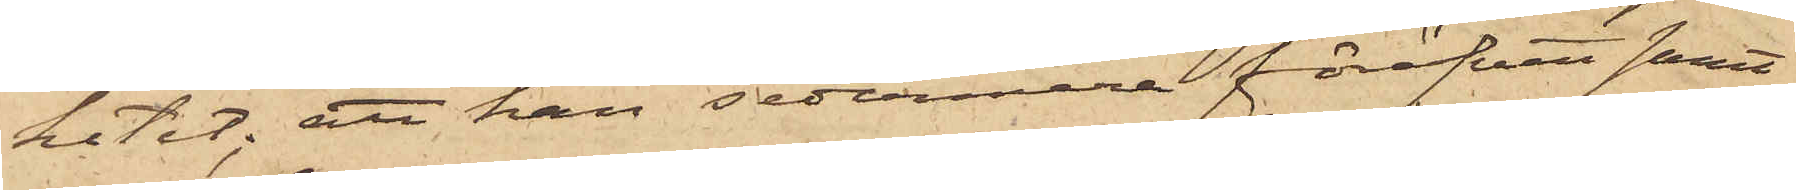ketet; att han sedermera föröfvat samt¬
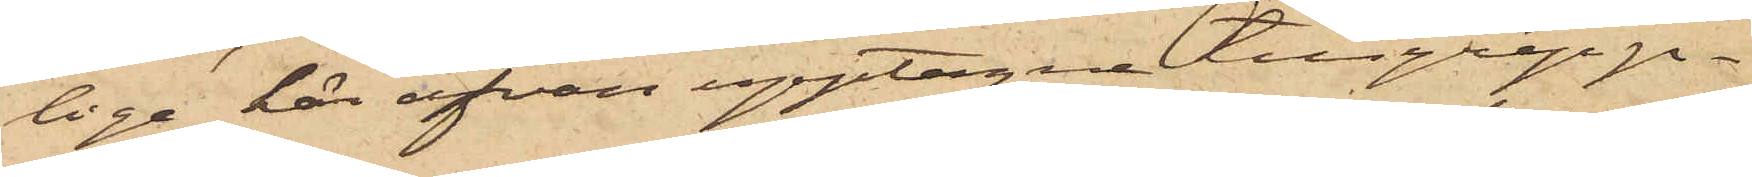lige här ofvan upptagne tillgrepp
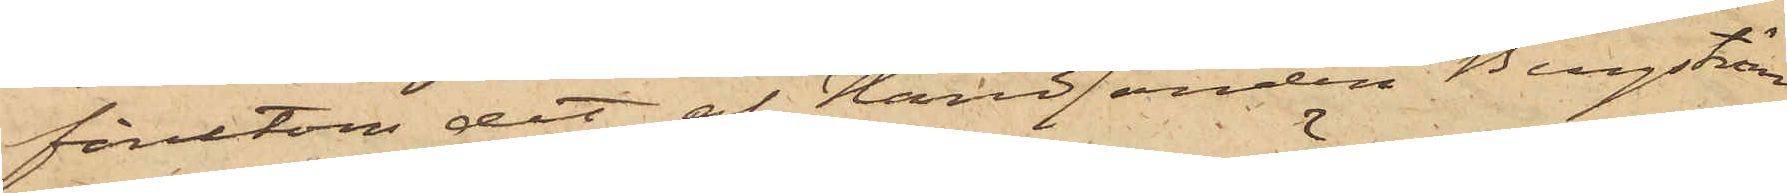förutom det af Handlanden Bengström
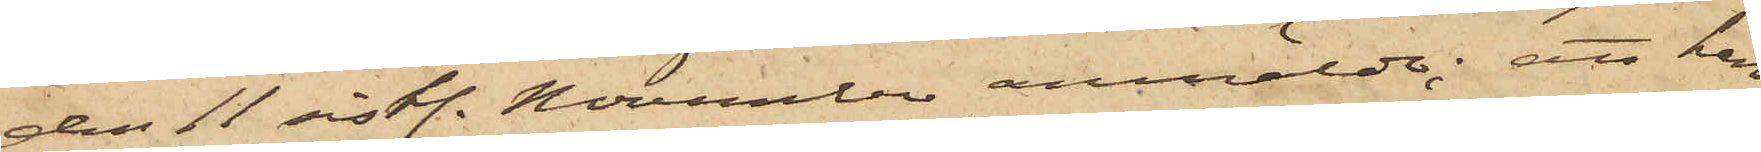den 11 sistl. November anmälde; att han
